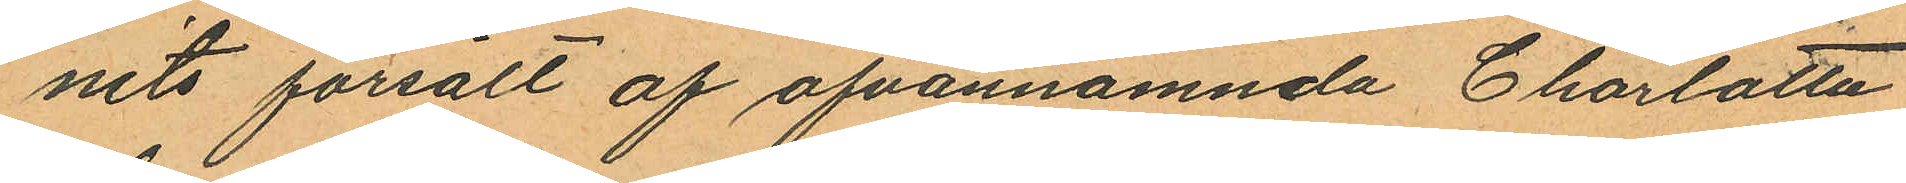nits försålt af ofvannämnda Charlotta
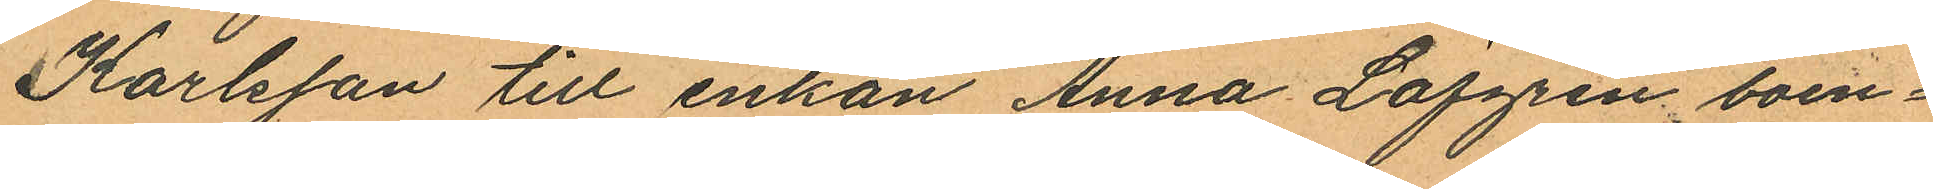Karlsson till enkan Anna Löfgren boen¬
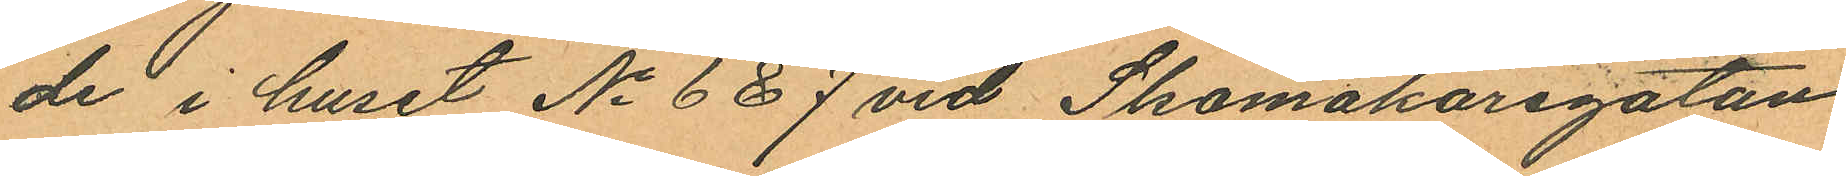de i huset No 6 & 7 vid Skomakaregatan
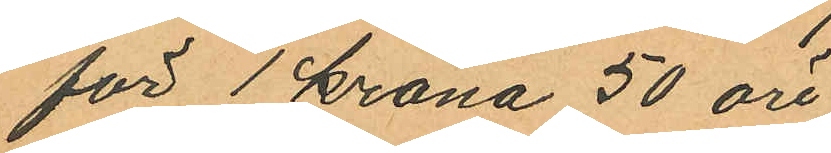för 1 krona 50 öre.
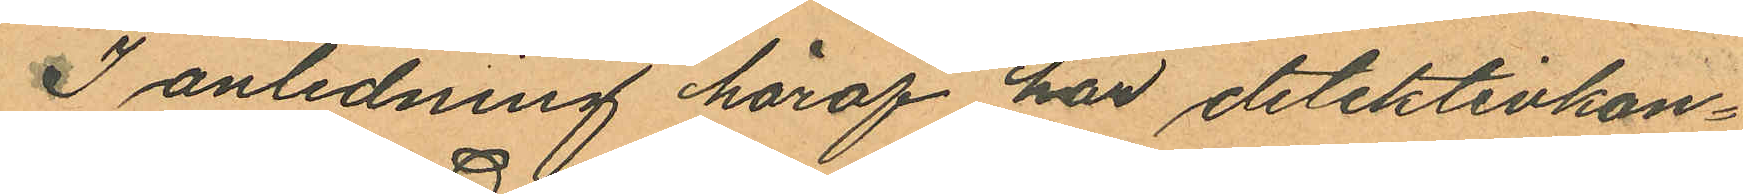I anledning häraf har detektivkon¬
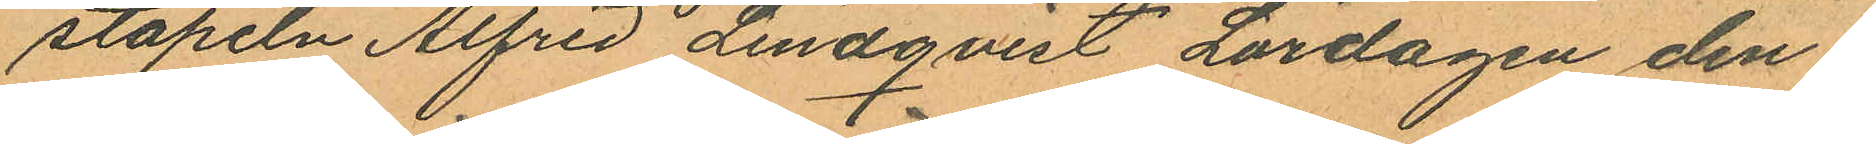stapeln Alfred Lindqvist Lördagen den 1
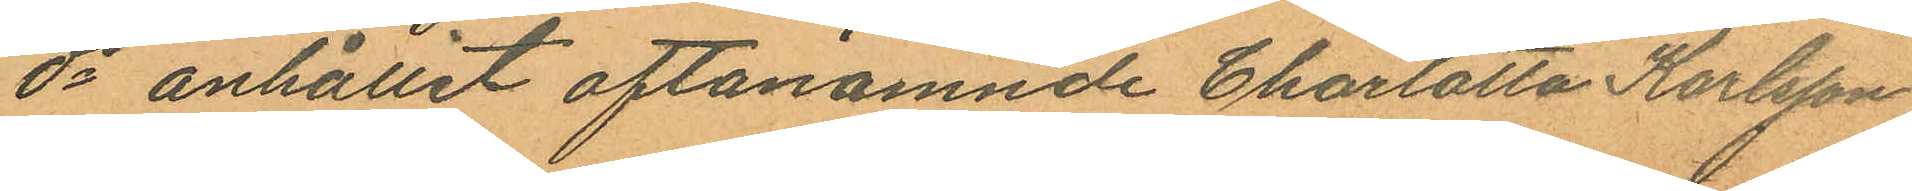ds anhållit oftanämnde Charlotta Karlsson
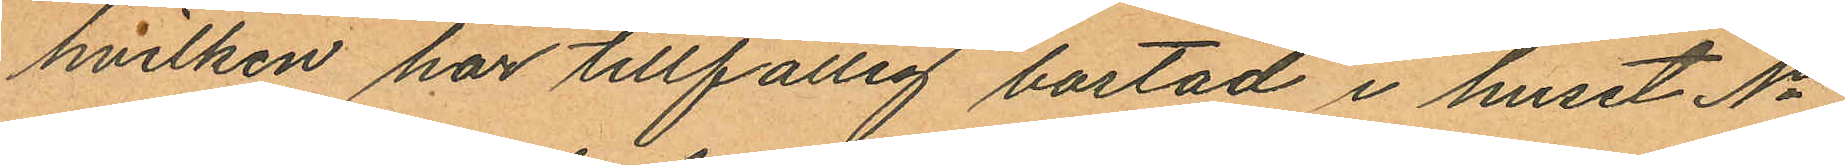hvilken har tillfällig bostad i huset No
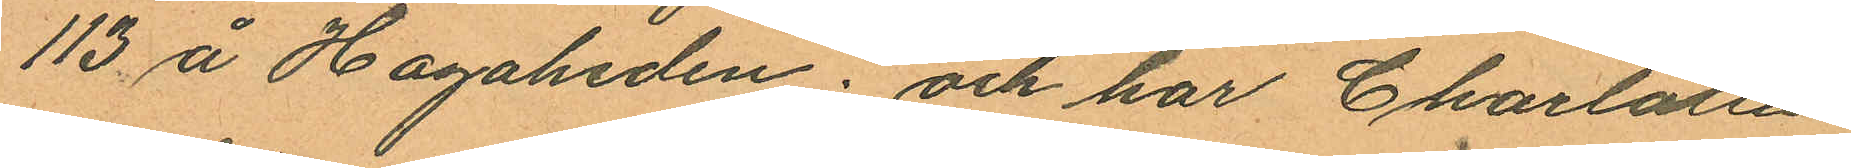113 å Hagaheden; och har Charlotta
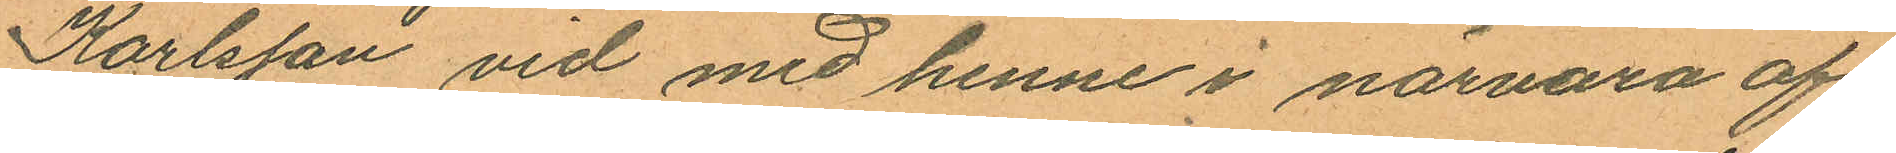Karlsson vid med henne i närvaro af
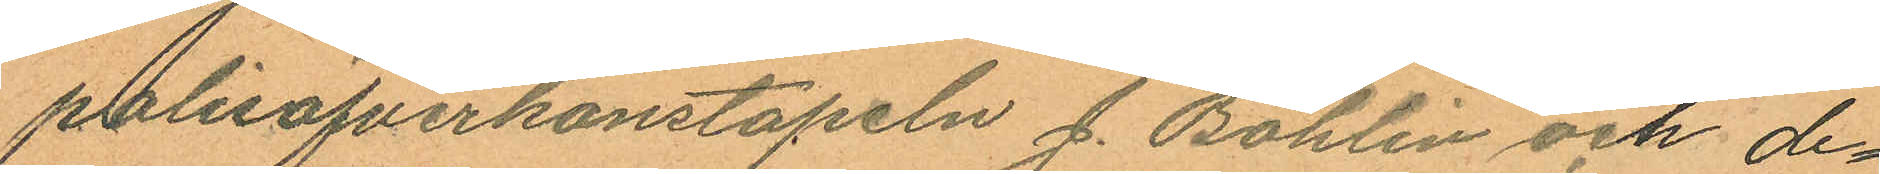polisöfverkonstapeln J. Bohlin och de¬
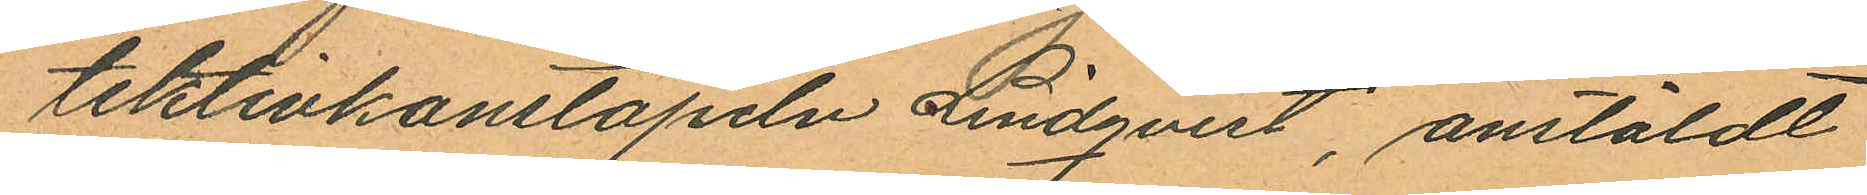tektivkonstapeln Lindqvist, anstäldt
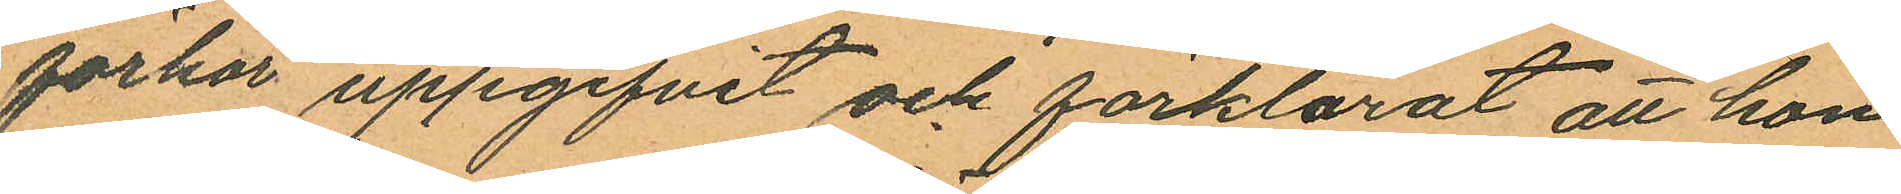förhör uppgifvit och förklarat att hon
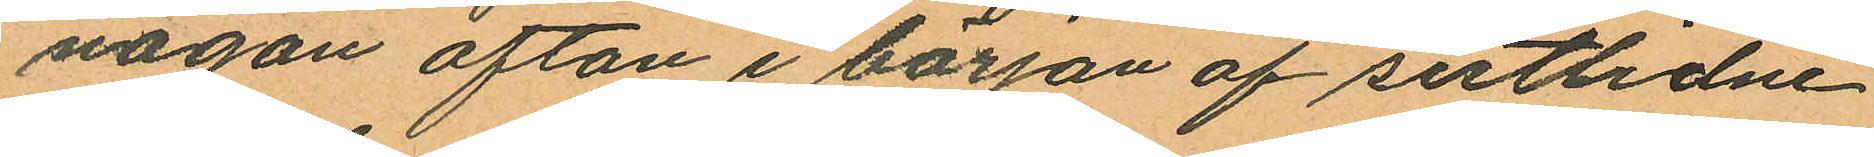någon afton i början af sistlidne
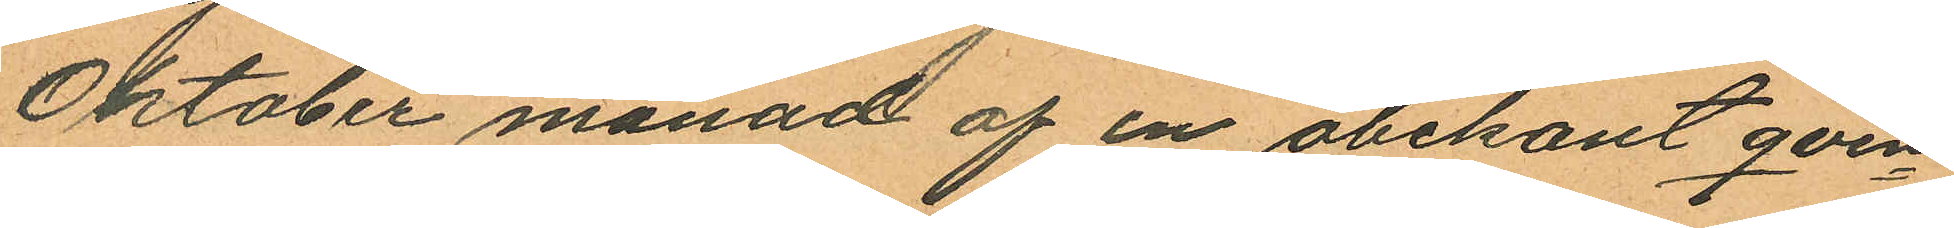Oktober månad af en obekant qvin¬
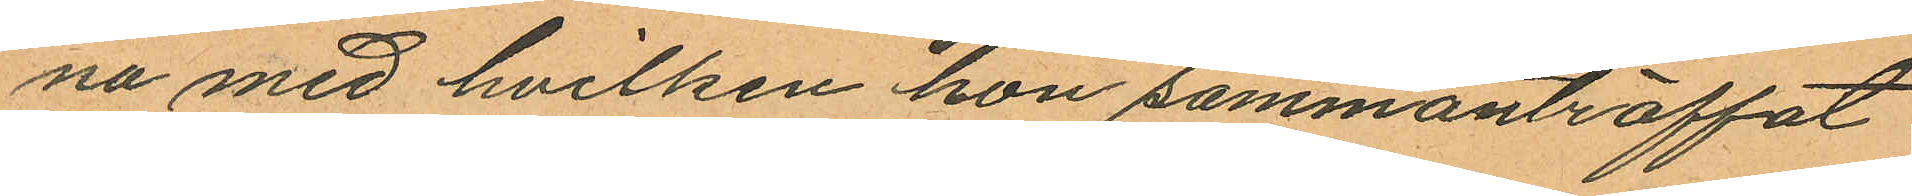na med hvilken hon sammanträffat
